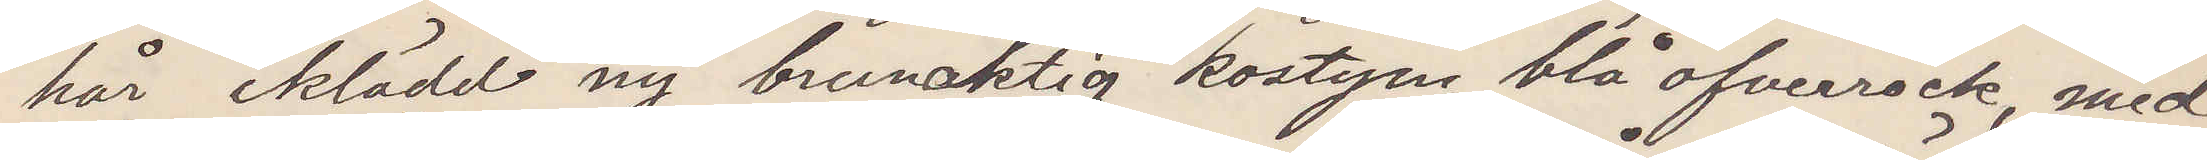hår iklädd ny brunaktig kostym, blå öfverrock, med¬
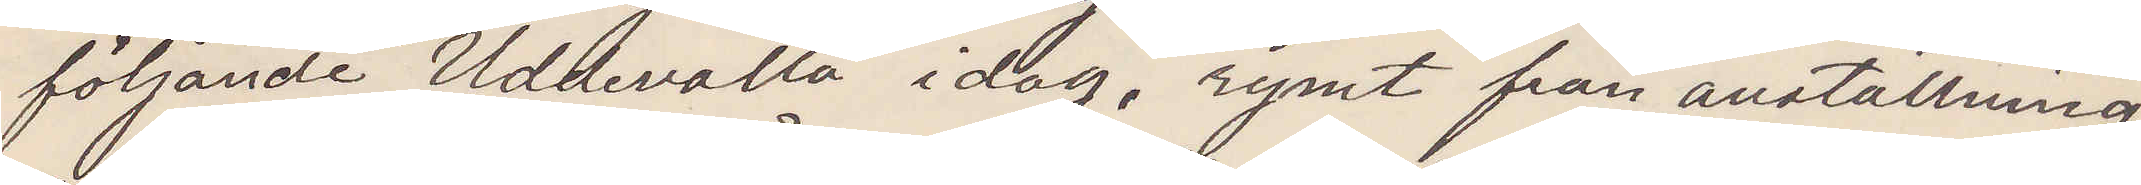följande "Uddevalla" idag, rymt från anställning
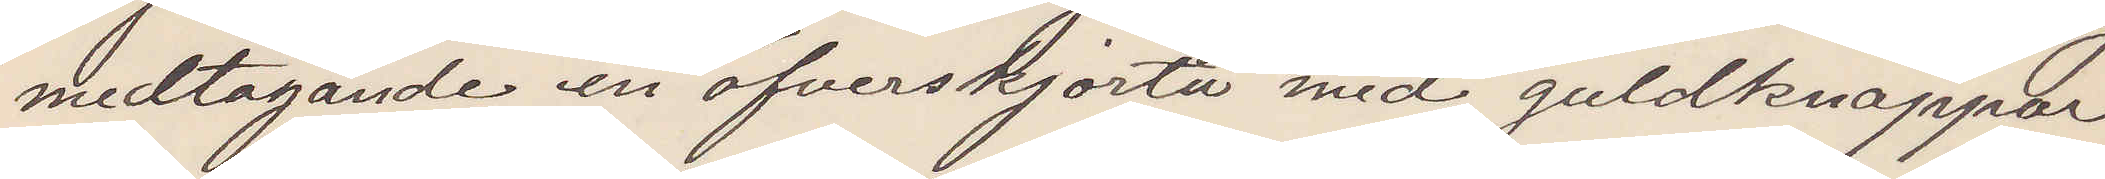medtagande en öfverskjorta med guldknappar,
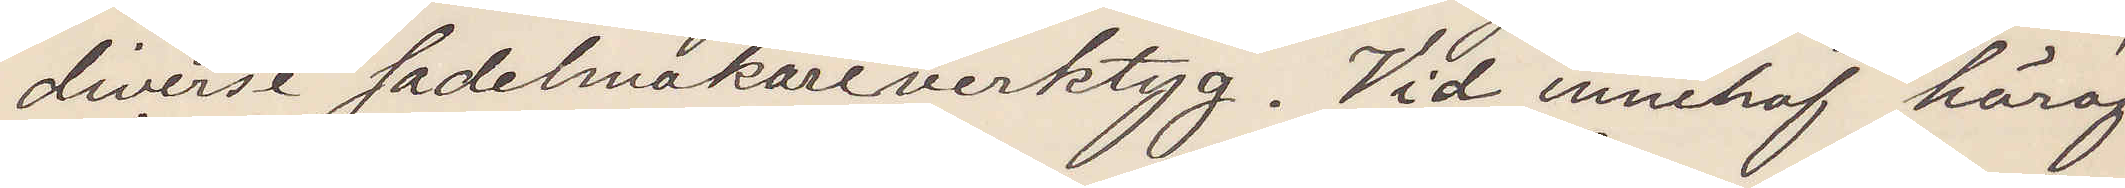diverse sadelmakareverktyg. Vid innehaf häraf
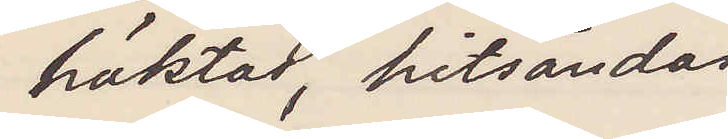häktas, hitsändas
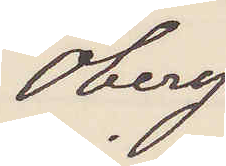Öberg
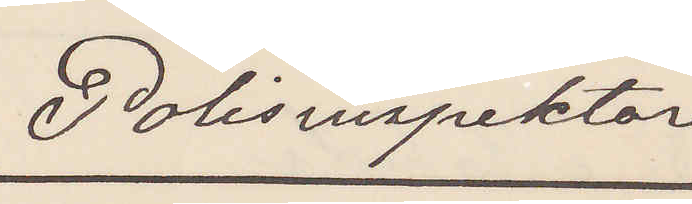Polisinspektor
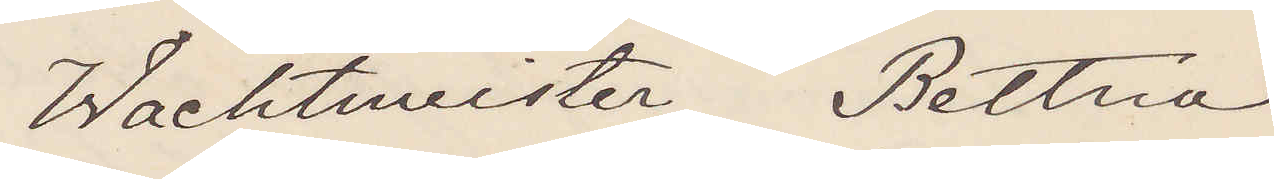Wachtmeister Bettna
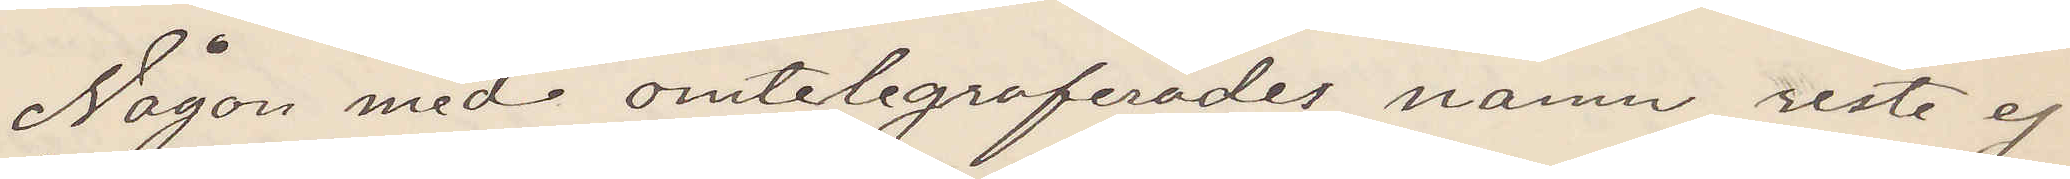Någon med omtelegraferades namn reste ej
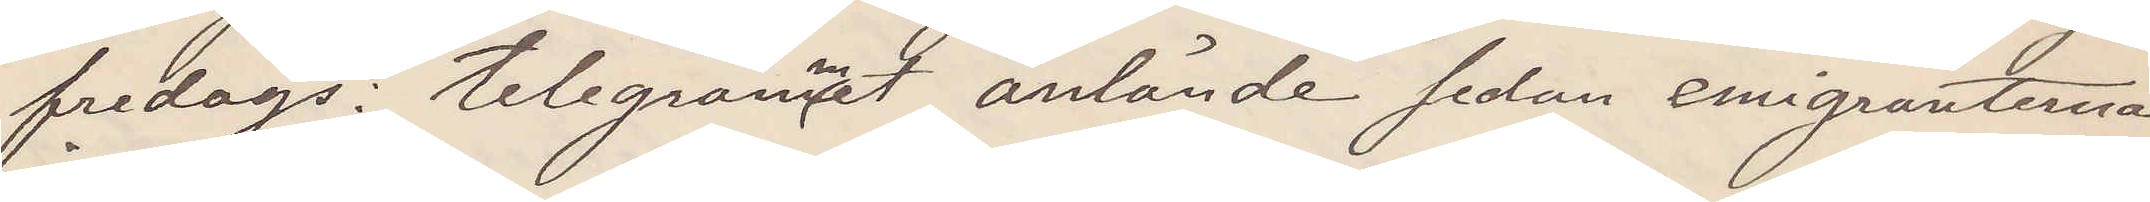fredags: telegrammet anlände sedan emigranterna
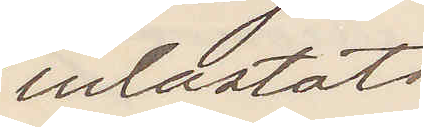inlastats
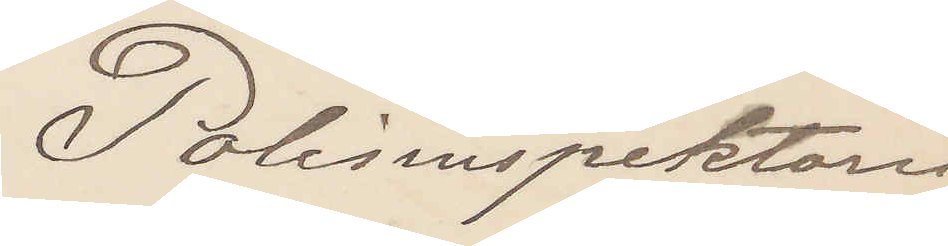Polisinspektorn
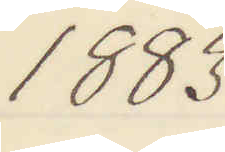1883.
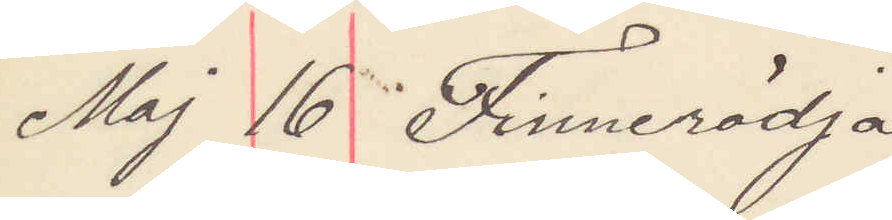Maj 16 Finnerödja
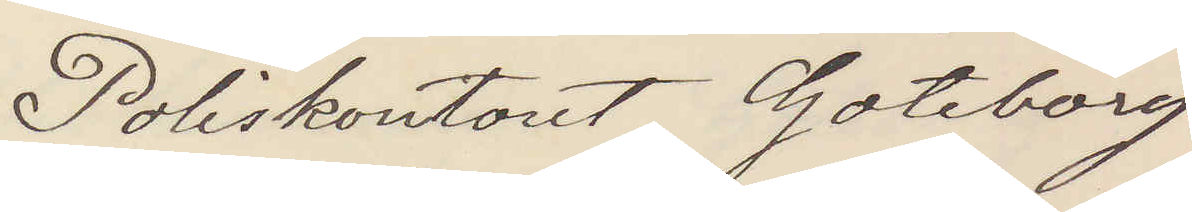Poliskontoret Göteborg
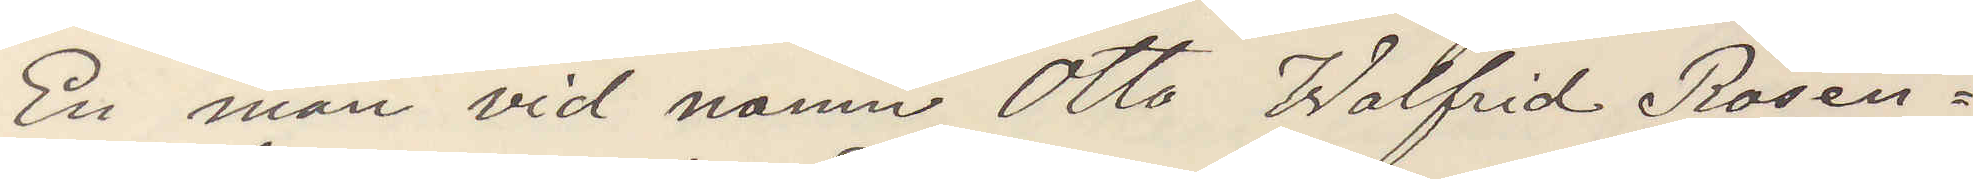En man vid namn Otto Walfrid Rosen¬
